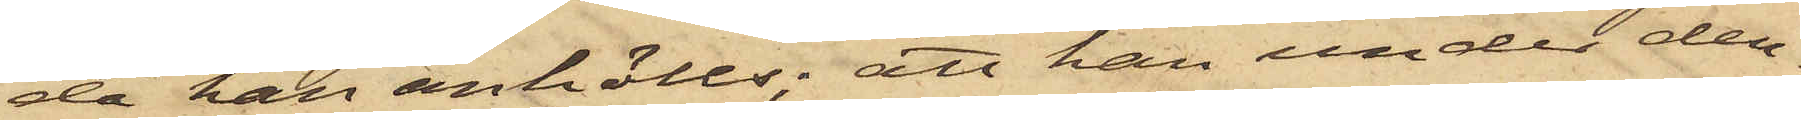då han anhölls; att han under den¬
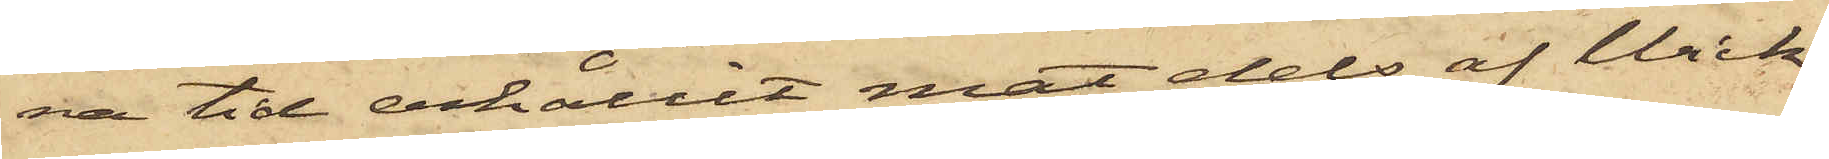na tid erhållit mat dels af Wick¬
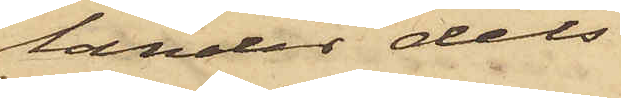lander dels
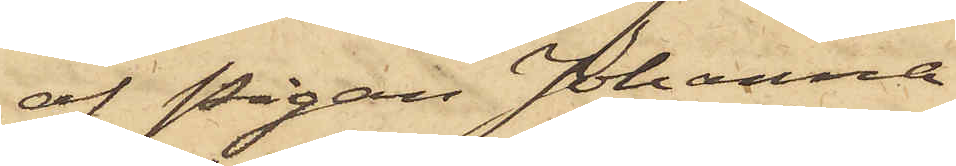af Pigan Johanna
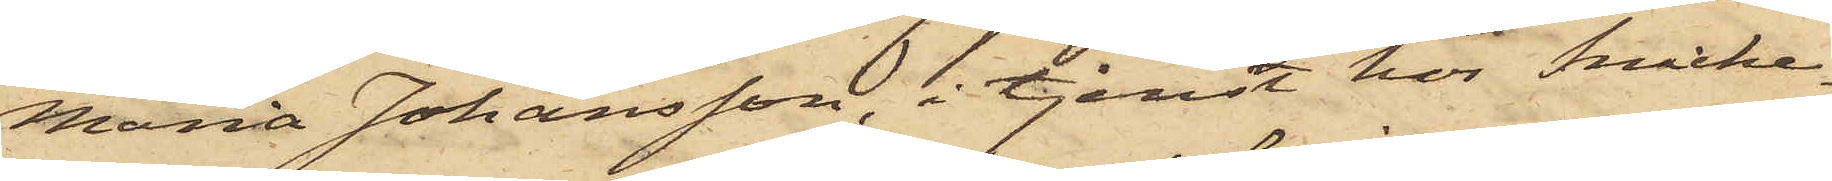Maria Johansson, i tjenst hos Snicke¬
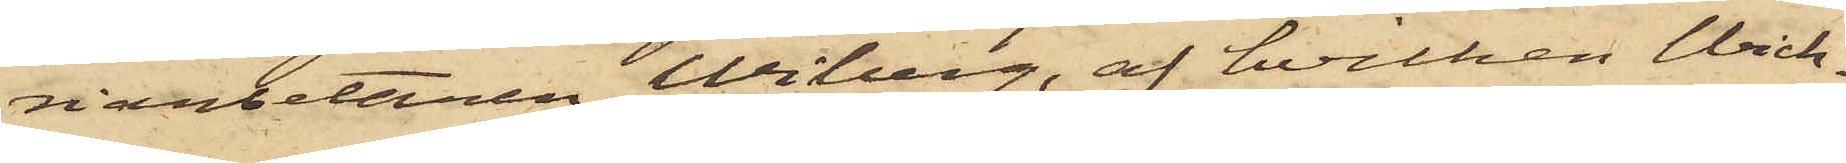riarbetaren Wiberg, af hvilken Wick¬
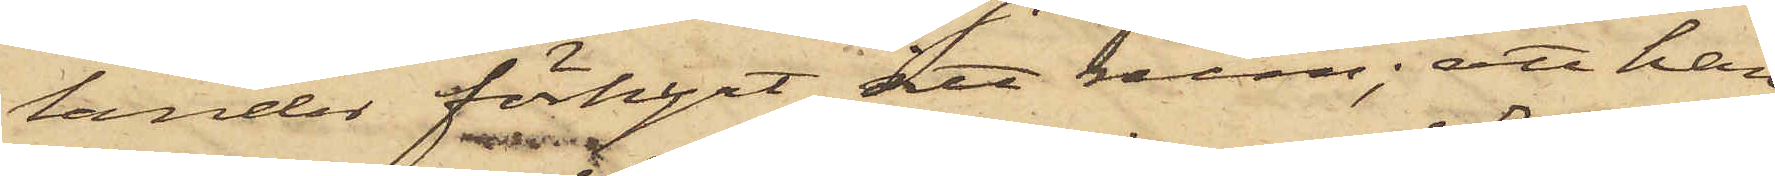lander förhyrt ett rum; att han
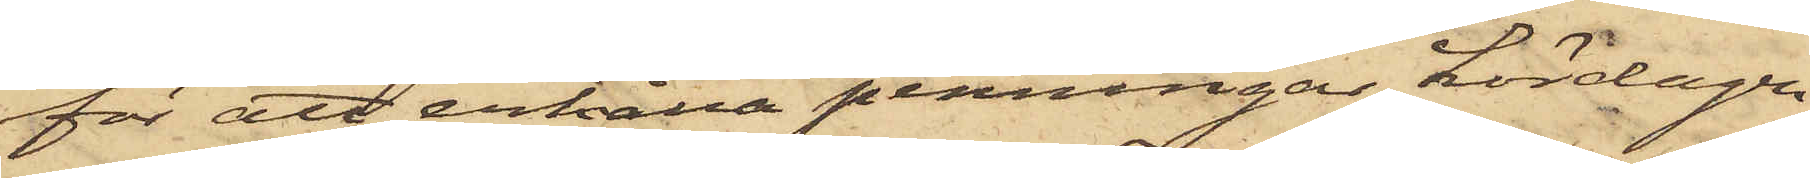för att erhålla penningar Lördagen
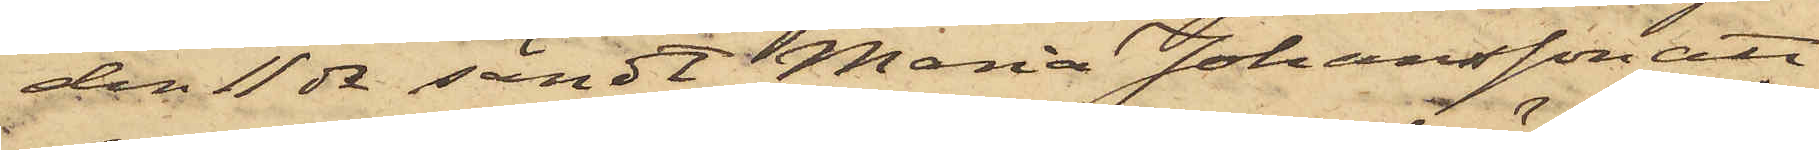den 11 ds sändt Maria Johansson att
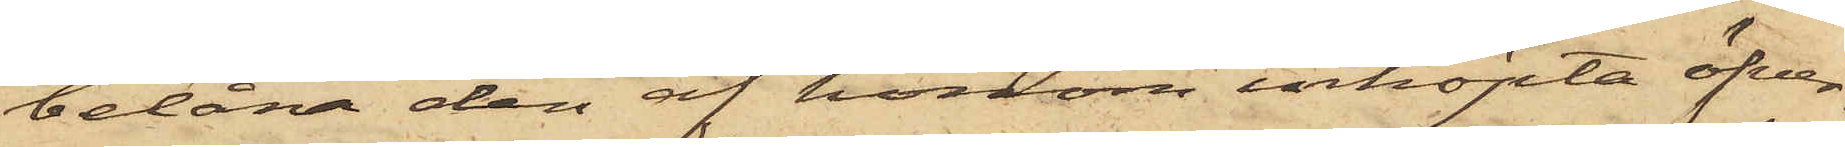belåna den af honom inköpta öfver¬
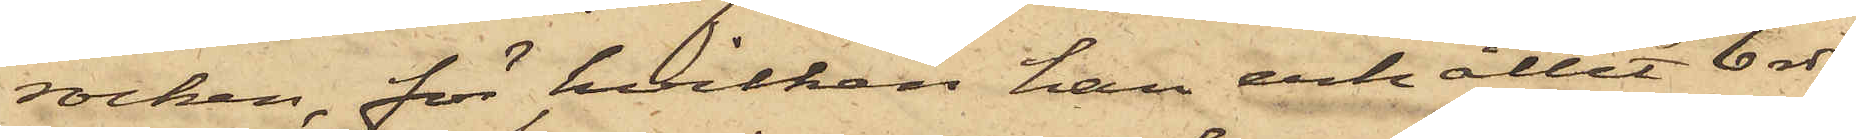rocken, för hvilken han erhållit 6 rdr,
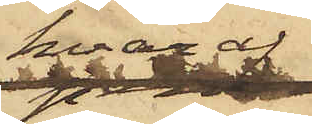hvaraf
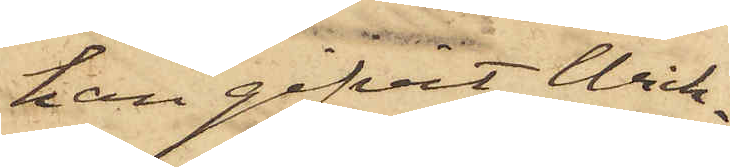han gifvit Wick¬
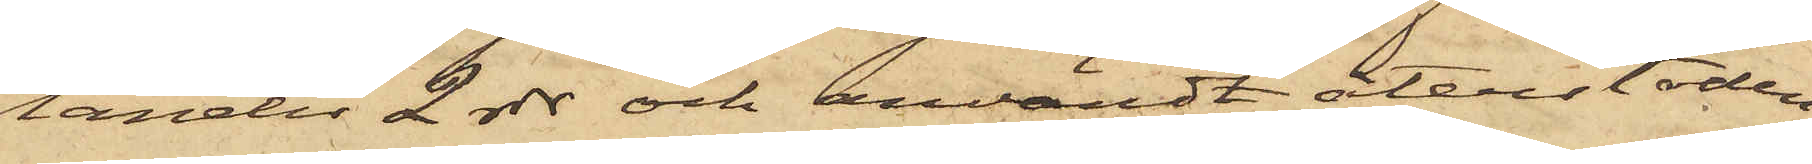lander 2 rdr och användt återstoden
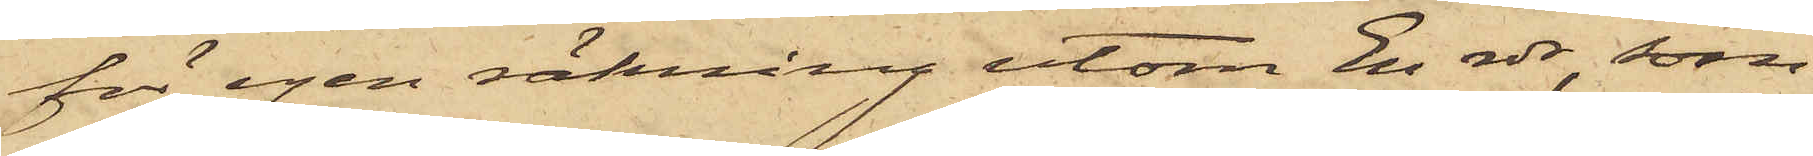för egen räkning utom En rdr, som
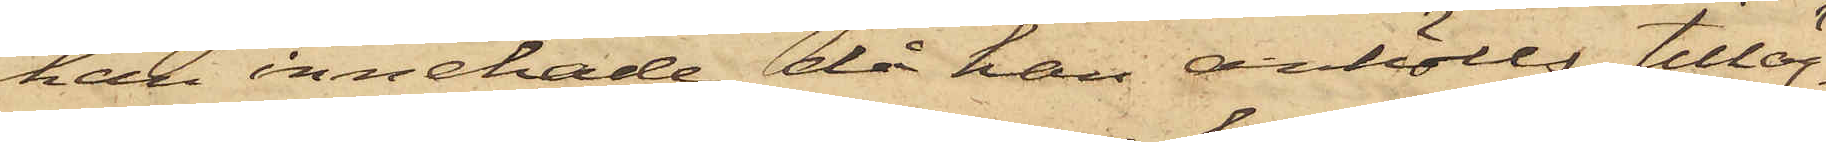han innehade då han anhölls; tilläg¬
